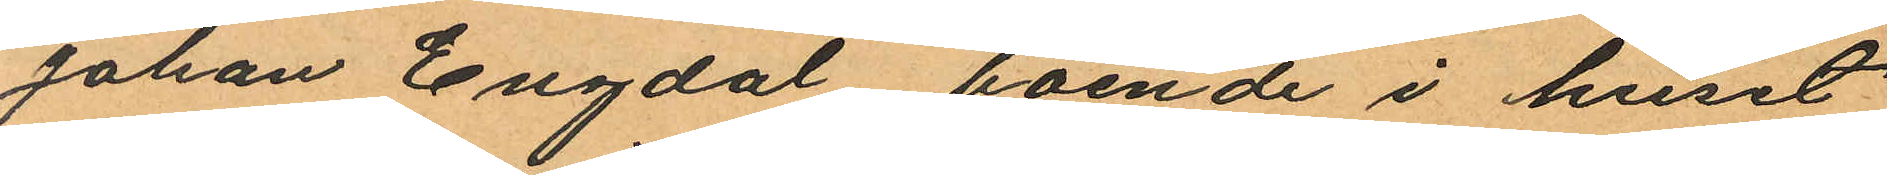Johan Engdal boende i huset
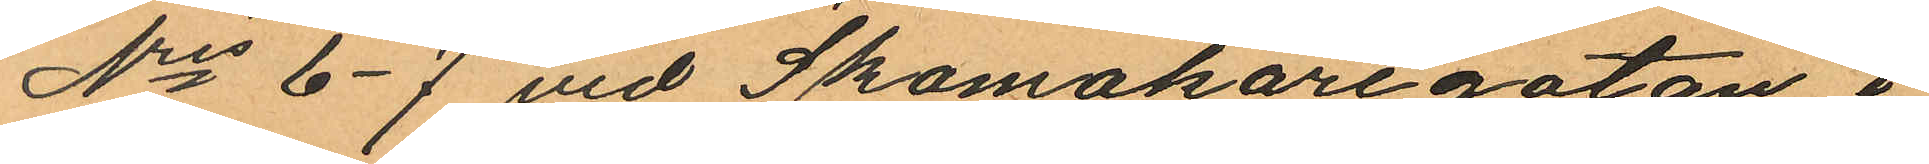Nris 6-7 vid Skomakaregatan i
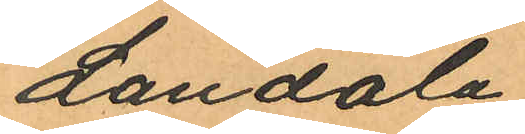Landala;
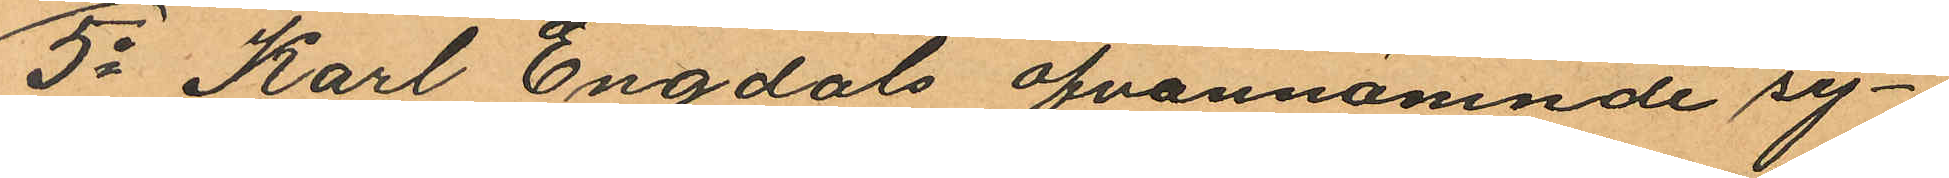5o Karl Engdals ofvannämnde sy¬
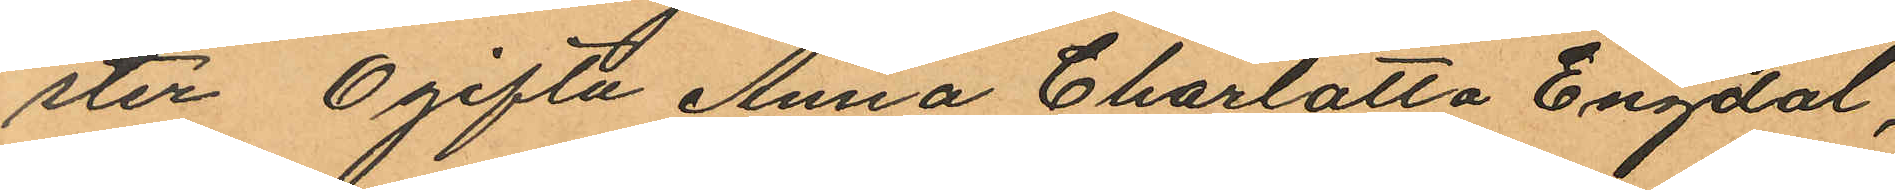ster Ogifta Anna Charlotta Engdal,
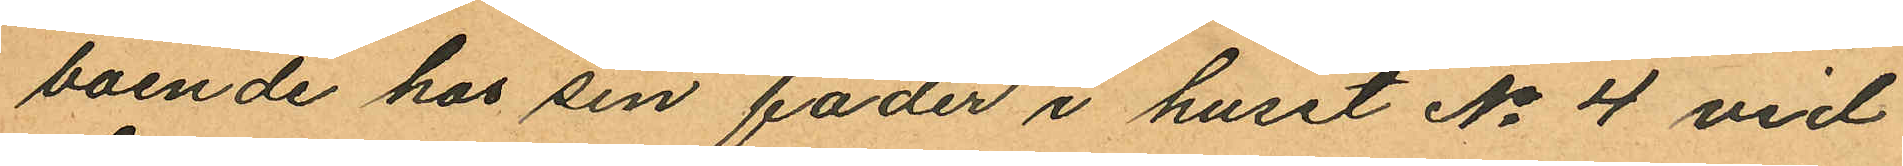boende hos sin fader i huset No 4 vid
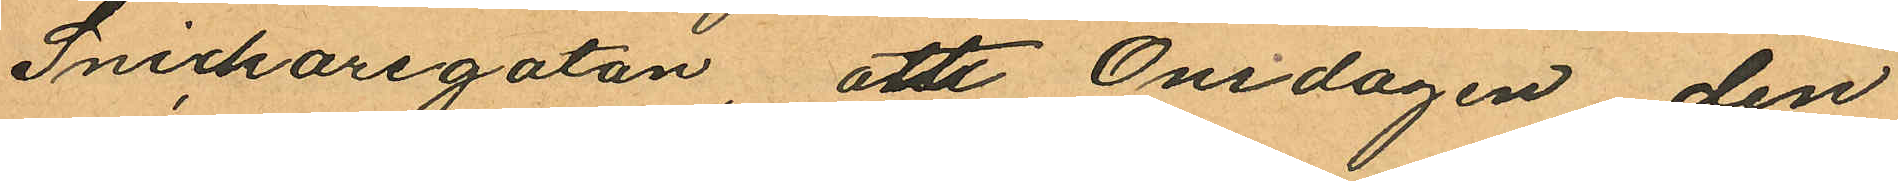Snickaregatan, att Onsdagen den
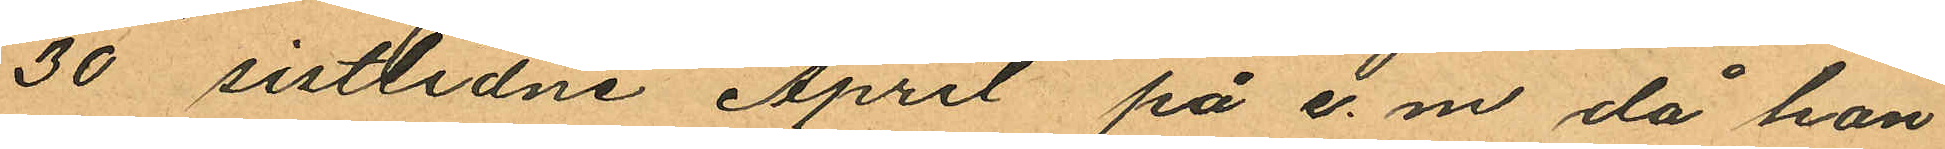30 sistlidne April på e.m då hon
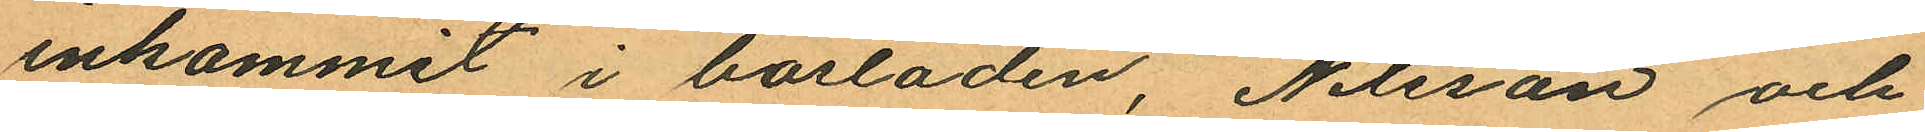inkommit i bostaden, Nilsson och
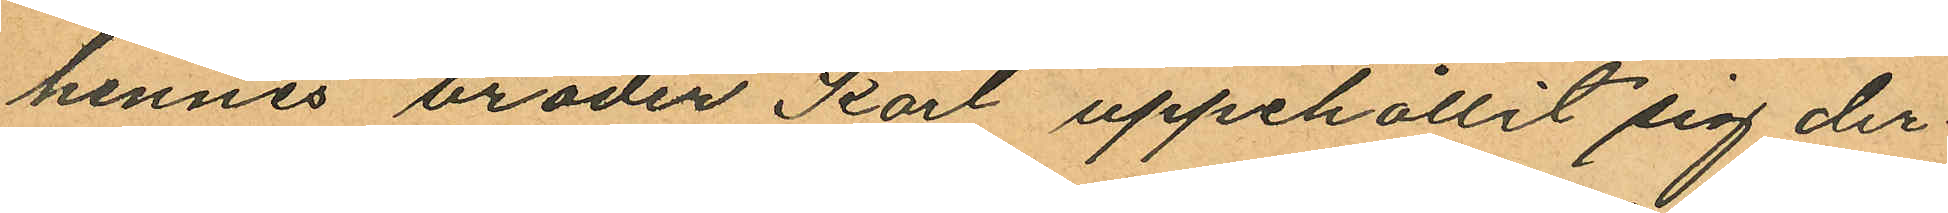hennes broder Karl uppehållit sig der¬
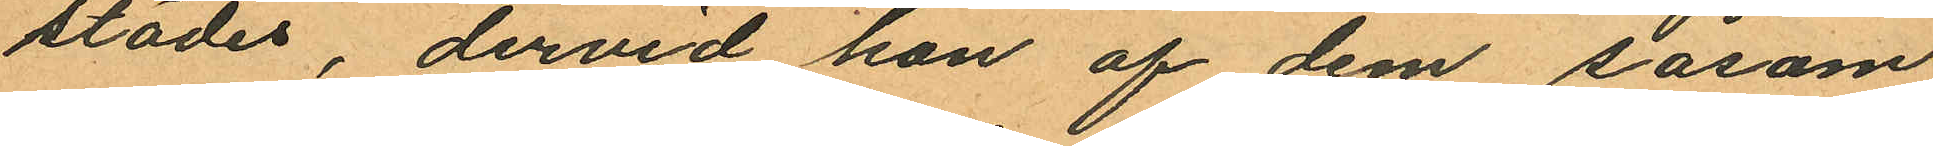städes, dervid hon af dem såsom
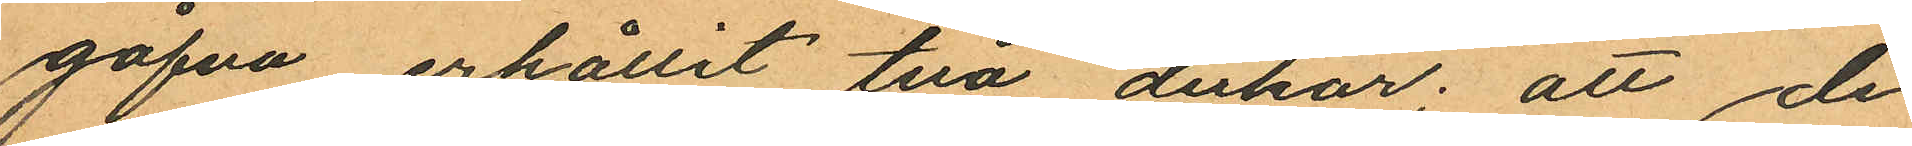gåfva erhållit två dukar; att de
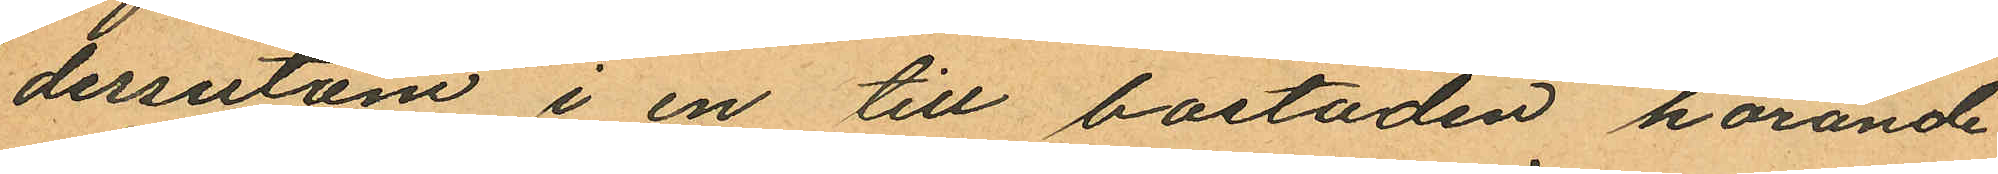dessutum i en till bostaden hörande
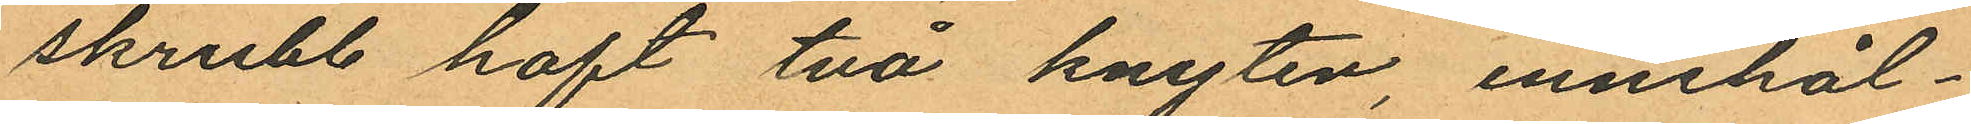skrubb haft två knyten innehål¬
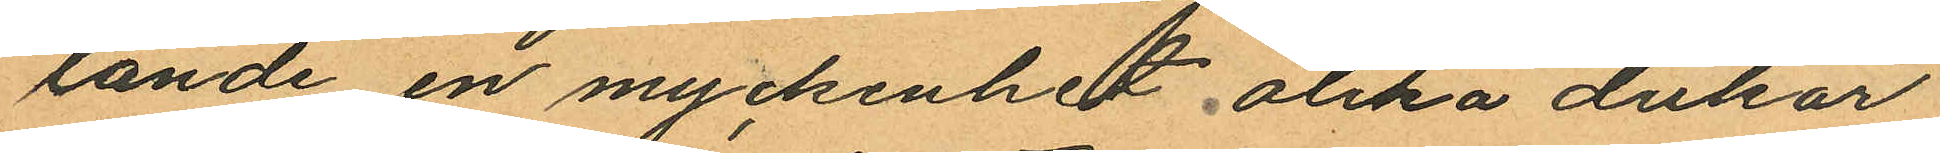lande en myckenhet olika dukar
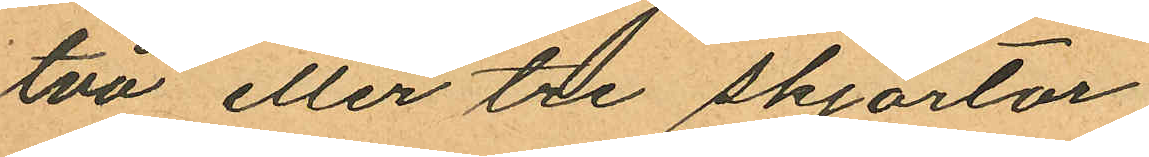två eller tre skjortor
